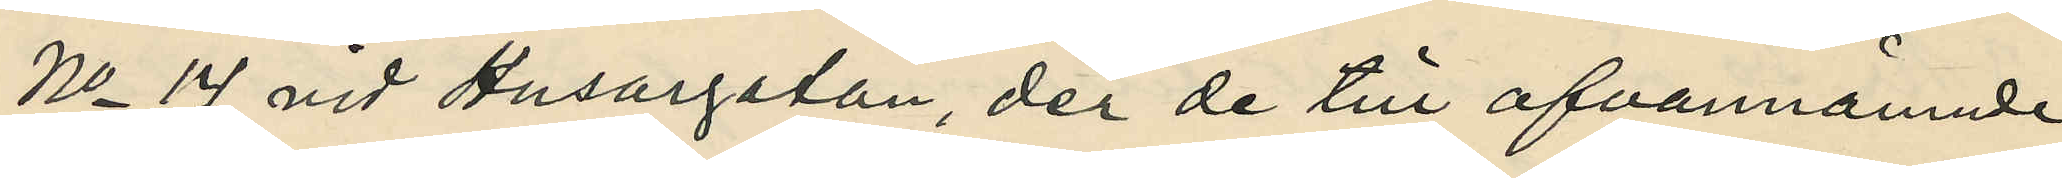No 14 vid Husargatan, der de till ofvannämnde
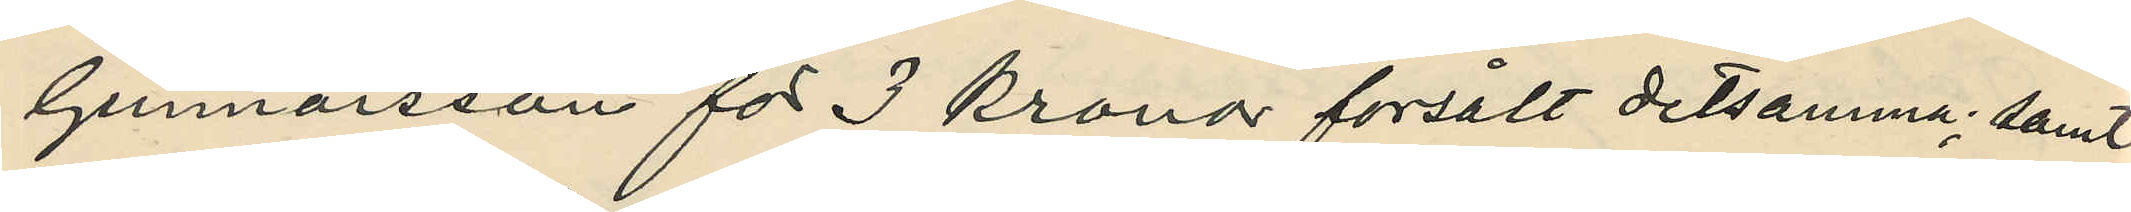Gunnarsson för 3 kronor försålt detsamma; samt
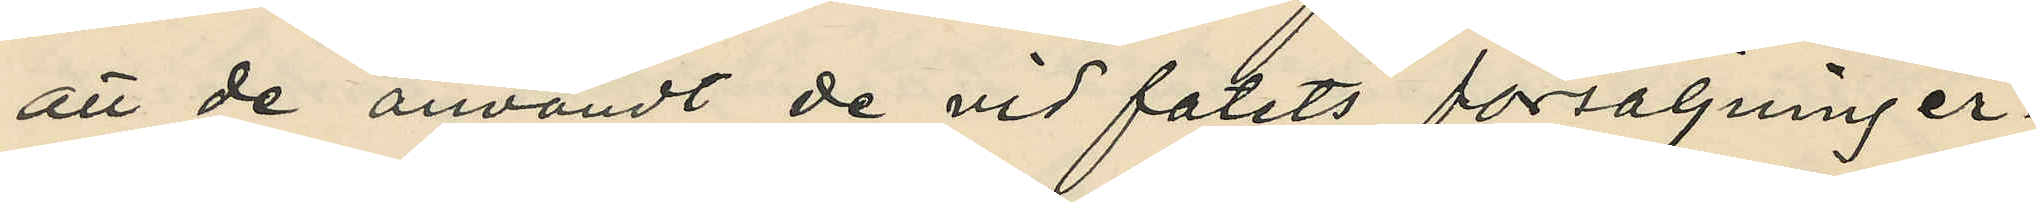att de användt de vid fatets försäljning er¬
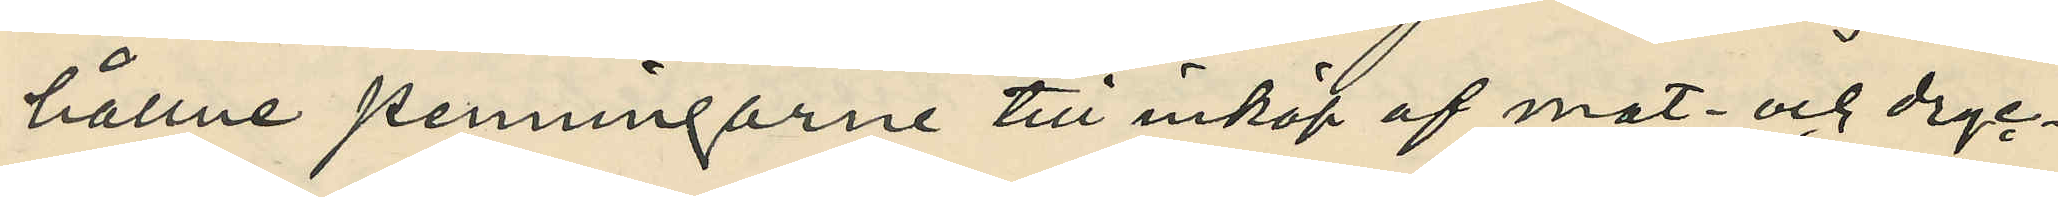hållne penningarne till inköp af mat och dryc¬
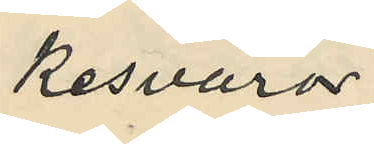kesvaror.
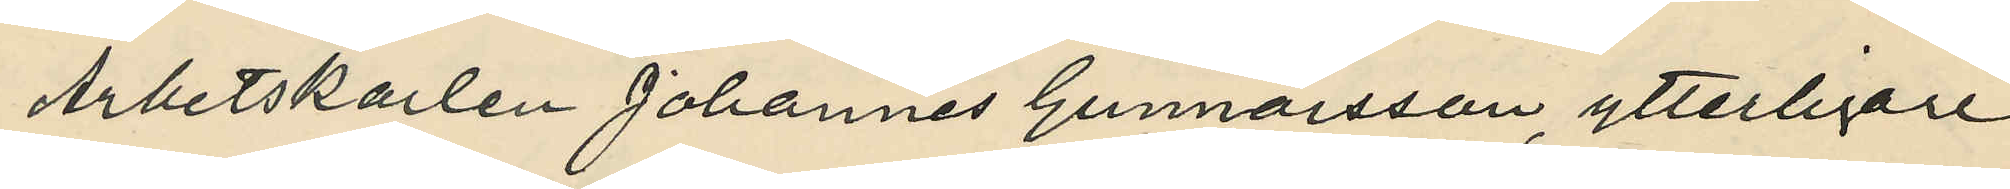Arbetskarlen Johannes Gunnarsson, ytterligare
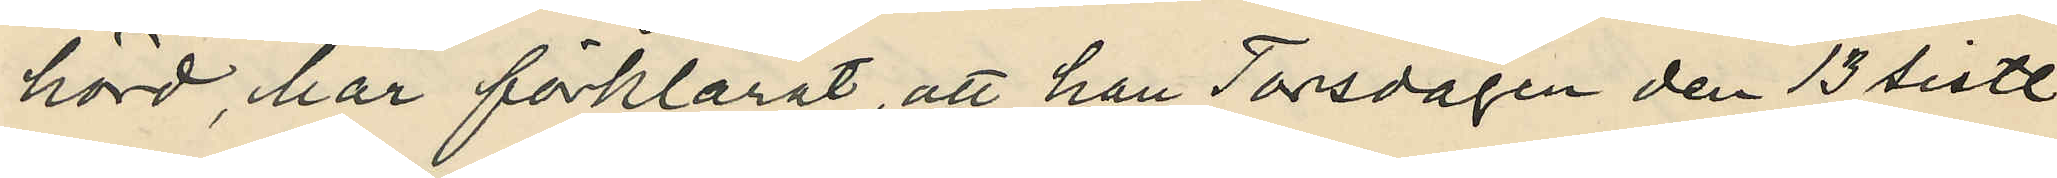hörd, har förklarat, att han Torsdagen den 13 sistl.
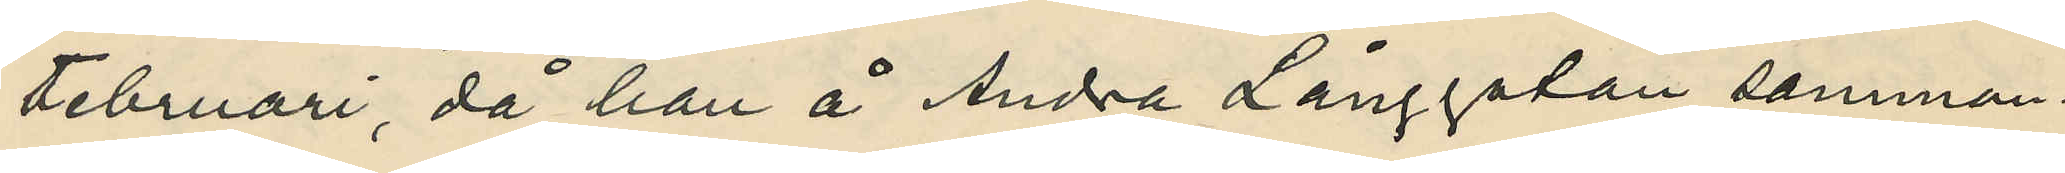Februari, då han å Andra Långgatan samman¬
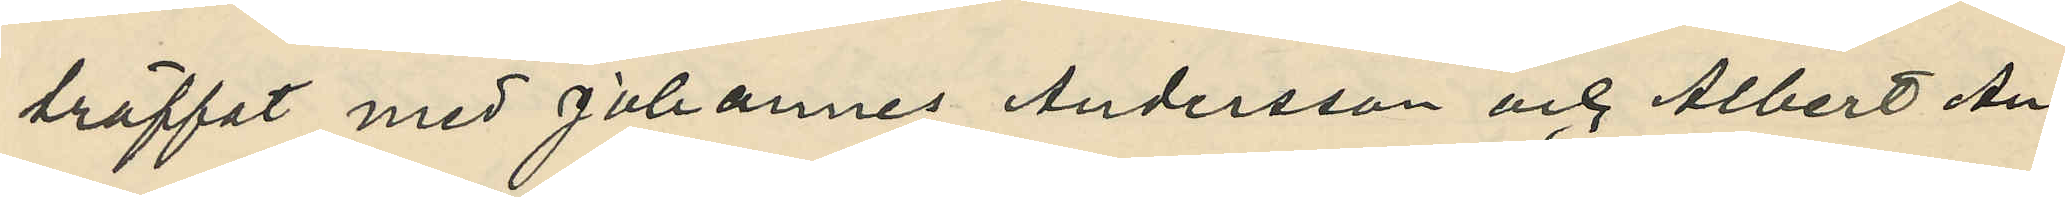träffat med Johannes Andersson och Albert An¬
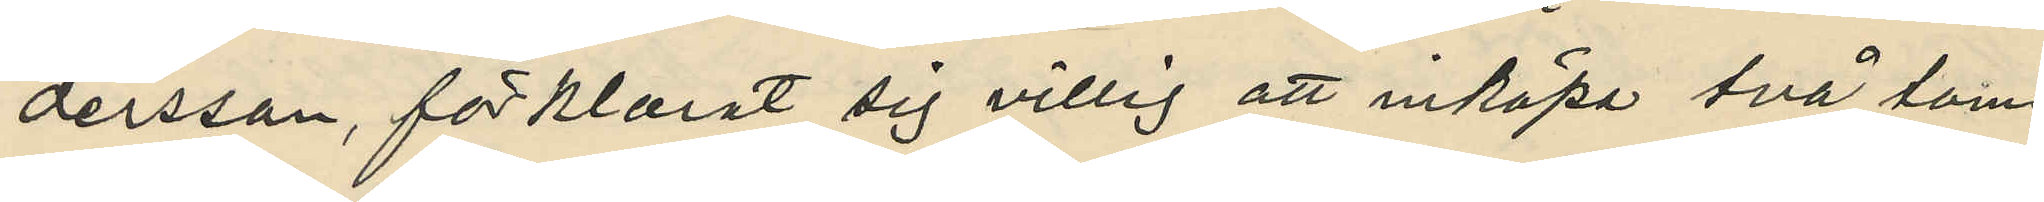dersson, förklarat sig villig att inköpa två tom-
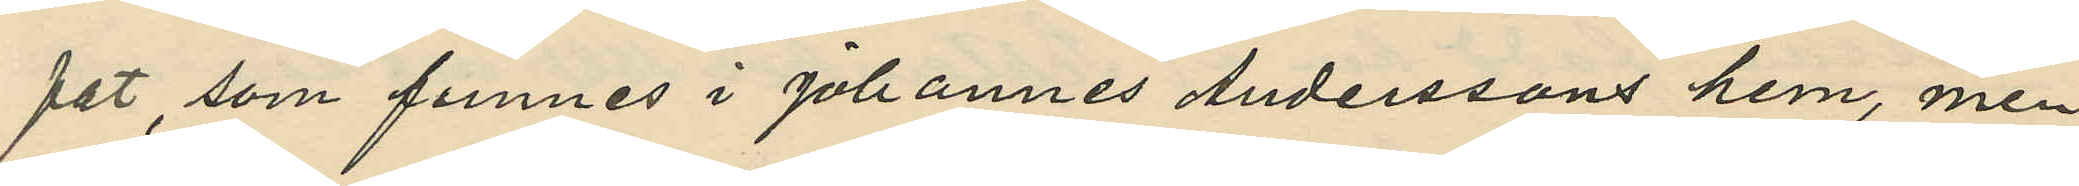fat som funnes i Johannes Anderssons hem, men
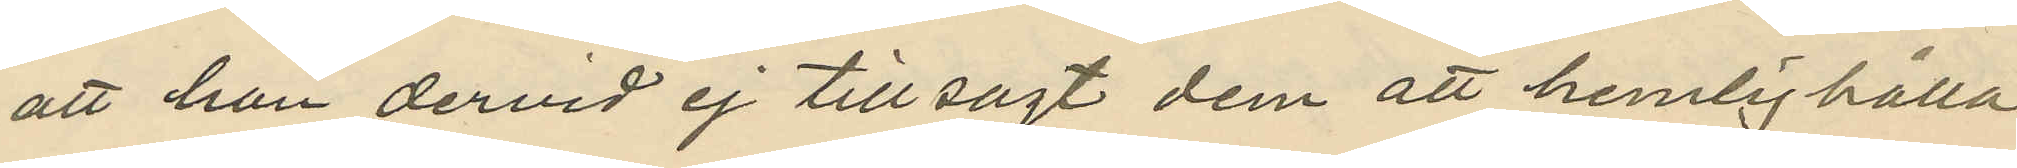att han dervid ej tillsagt dem att hemlighålla
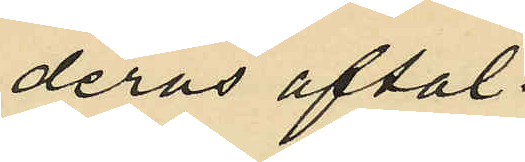deras aftal.
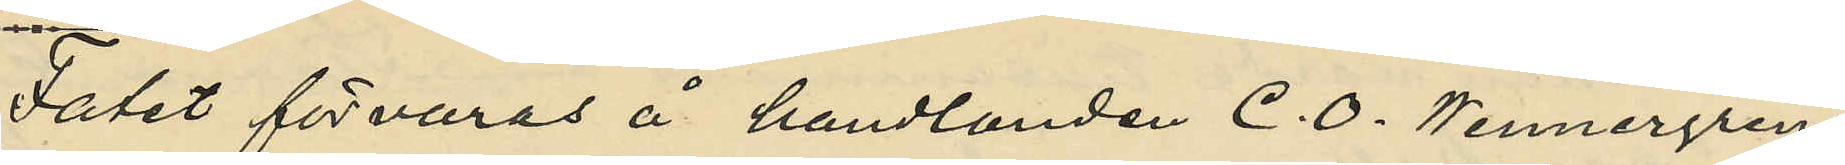Fatet förvaras å handlanden C. O. Wennergrens
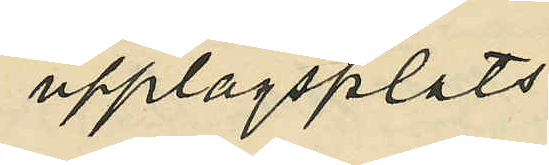upplagsplats.
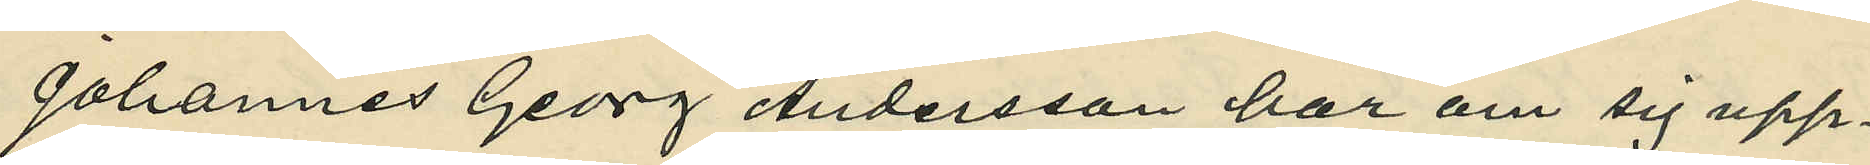Johannes Georg Andersson har om sig upp¬
